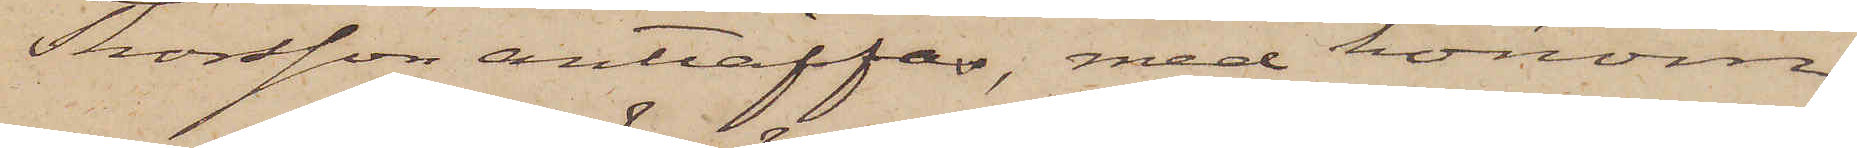Thorsson anträffas, med honom
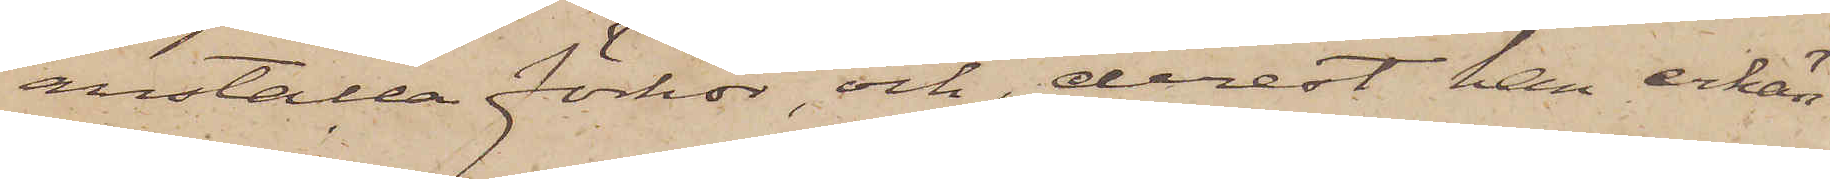anställa förhör, och, derest han erkän¬
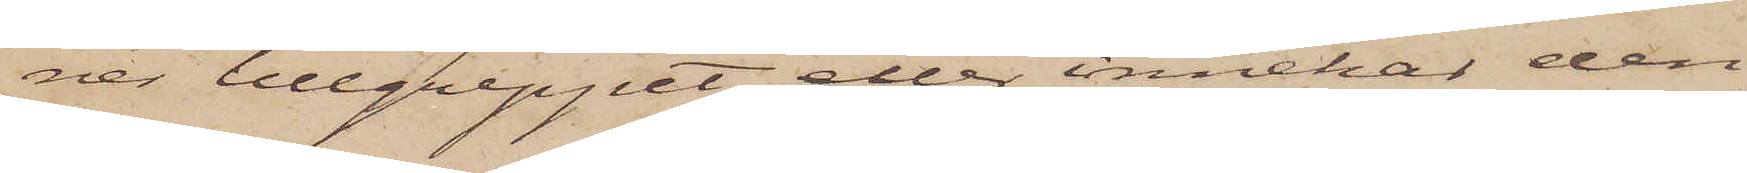ner tillgreppet eller innehar den
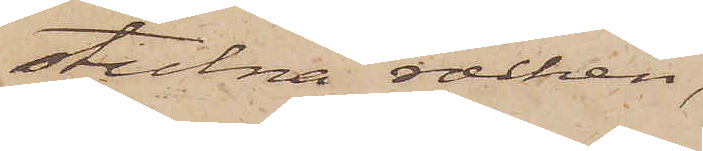stulna rocken,
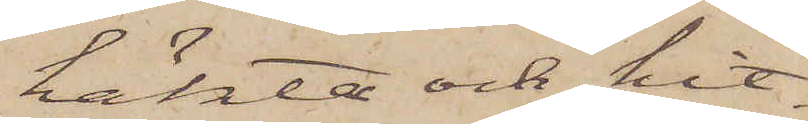häkta och hit¬
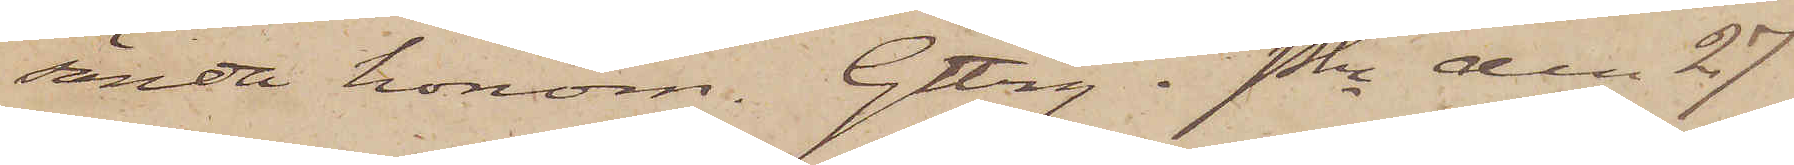sända honom. Gtbrg i Pkn den 27
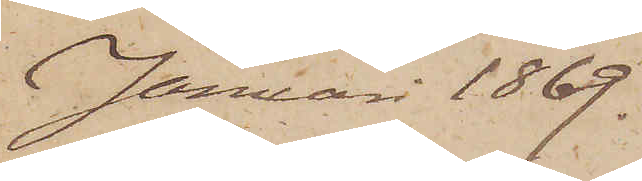Januari 1869.
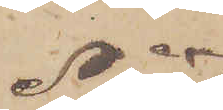No 7
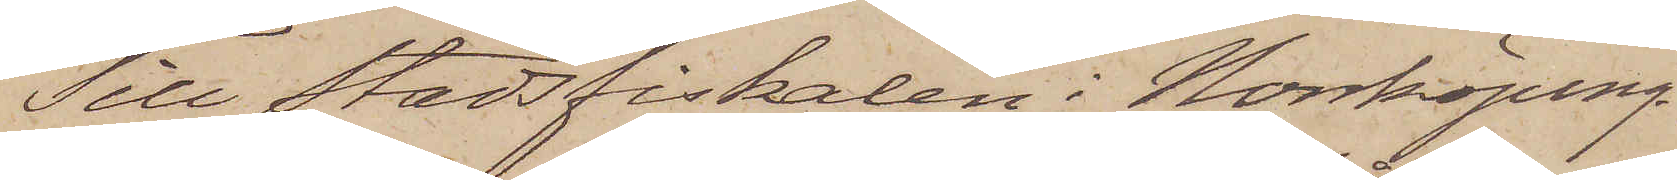Till Stadsfiskalen i Norrköping.
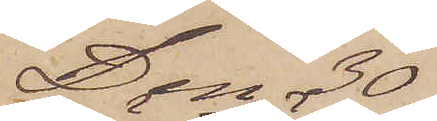Den 30
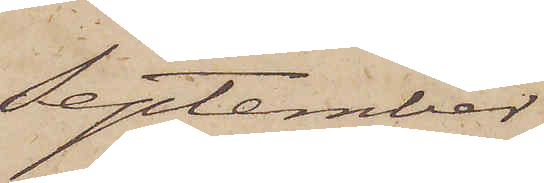September
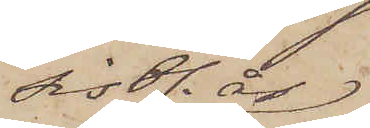sistl. år
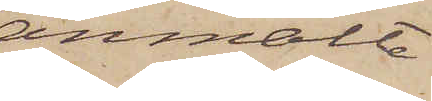anmälte
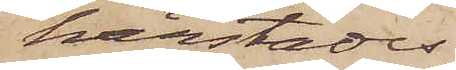härstädes
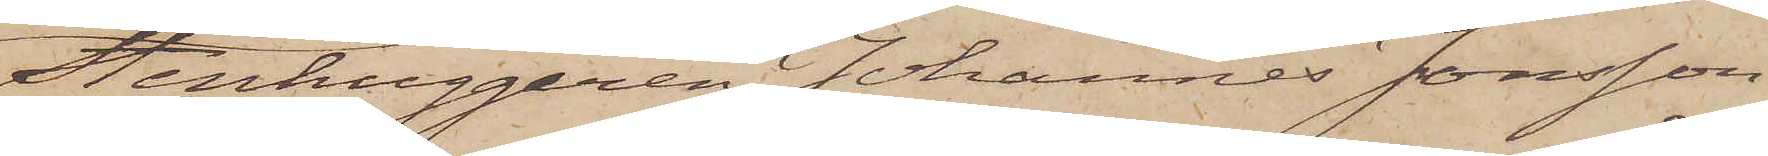Stenhuggaren Johannes Jonsson
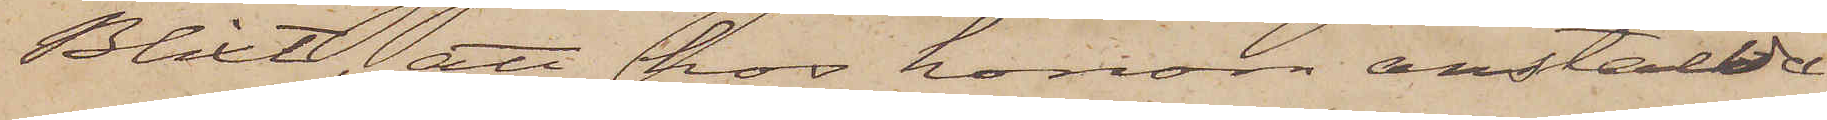Blixt, att hos honom anställda
